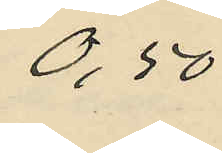0,50
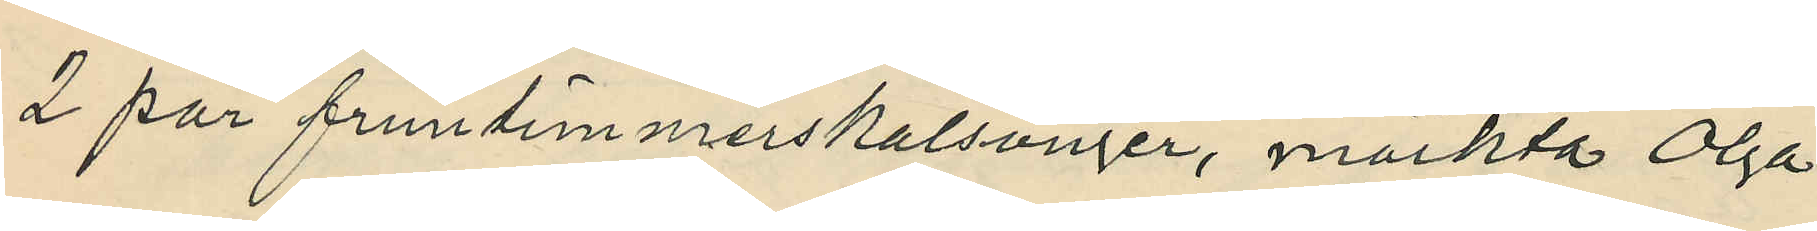2 par fruntimmerskalsonger, märkta Olga
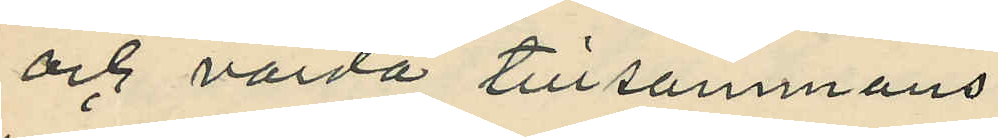och värda tillsammans
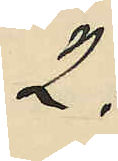2:
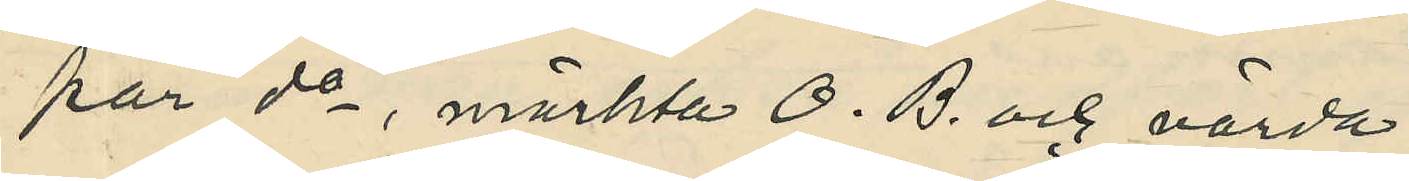1 par do, märkta O. B. och värda
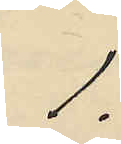1:
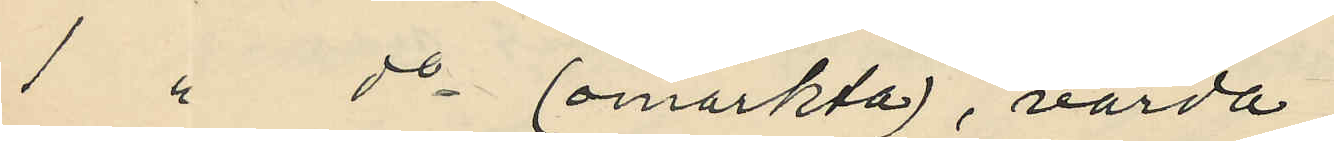1 " do (omärkta), värda
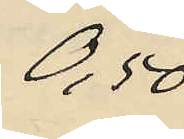0,50
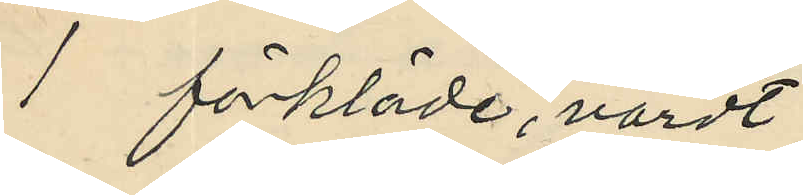1 förkläde, värdt
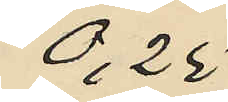0,25
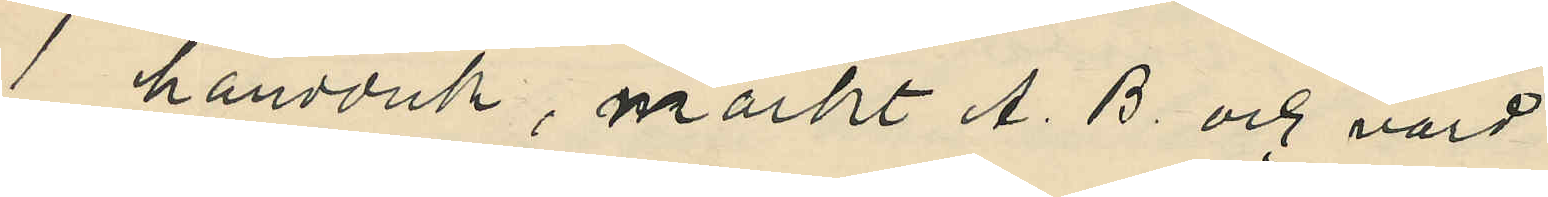1 handduk, märkt A. B. och värd
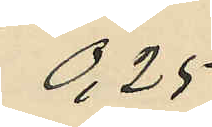0,25
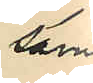samt
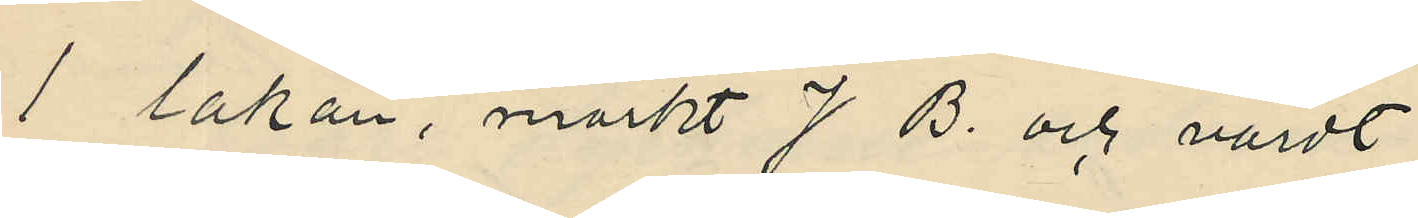1 lakan, märkt J B. och värdt
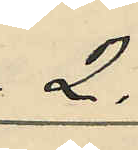2:
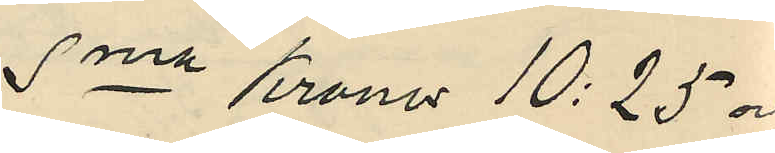Sma Kronor 10:25 och
